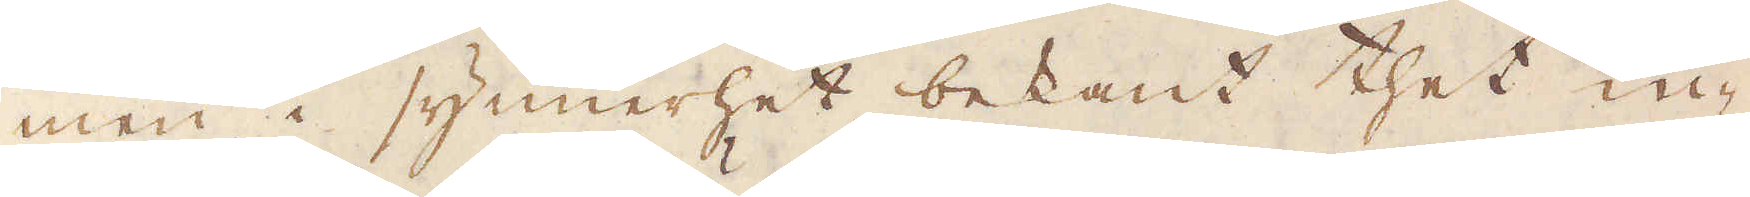men i synnerhet bekant thet in-
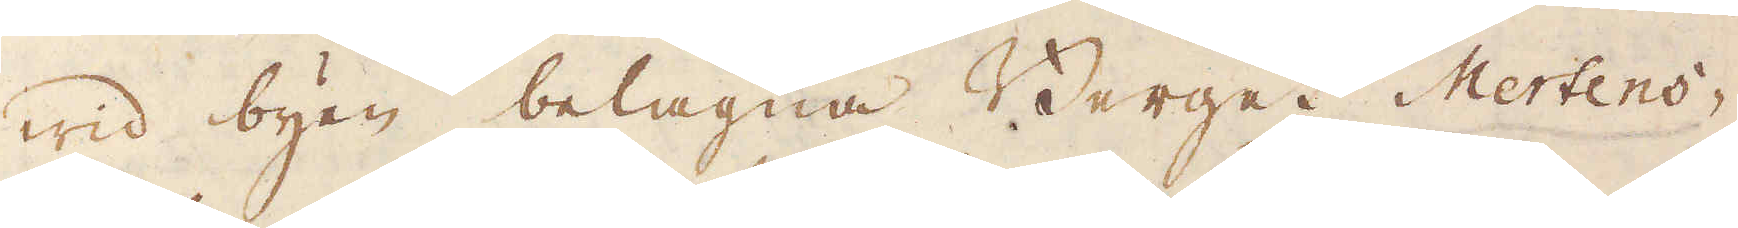wid byen belägna Berget Mertens-
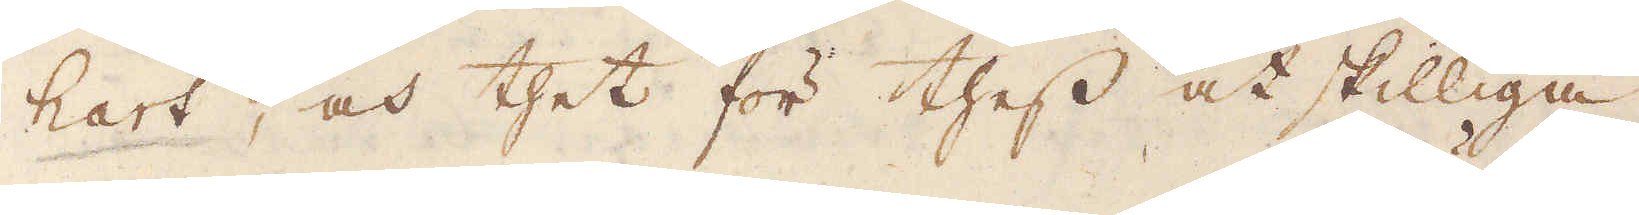hart, och thet för thess åtskilliga
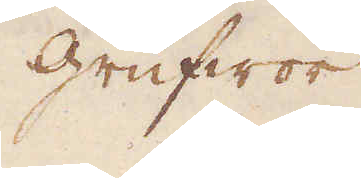grufwor
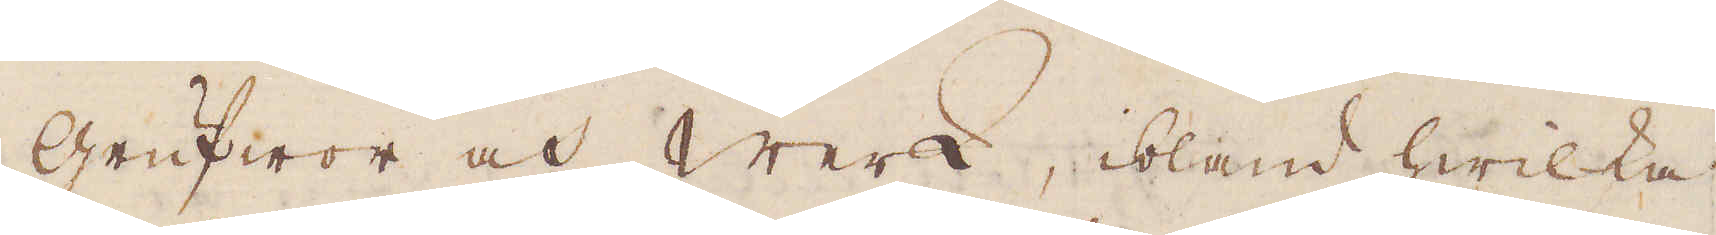grufwor och Werk, ibland hwilka
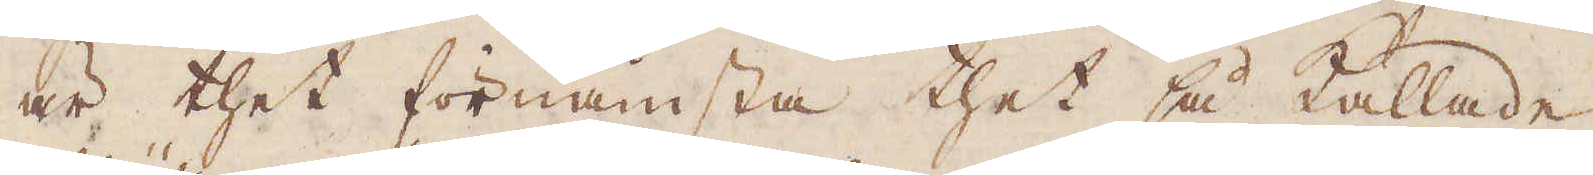är thet förnämsta thet så kallade
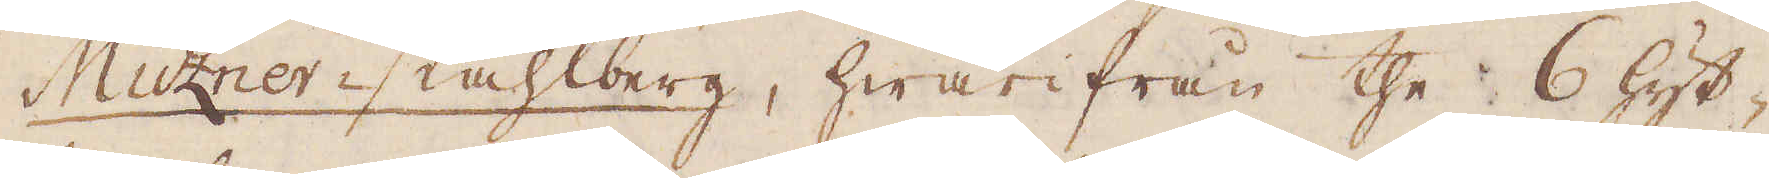Müzner-stahlberg, hwarifrån the 6 hyt-
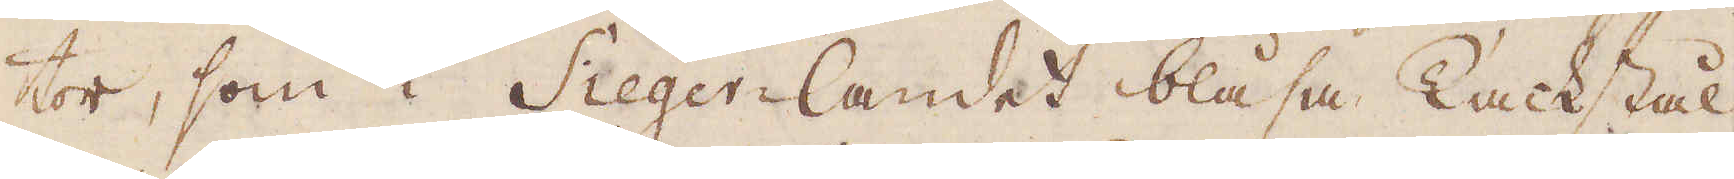tor, som i Sieger-landet blåsa Tackstål
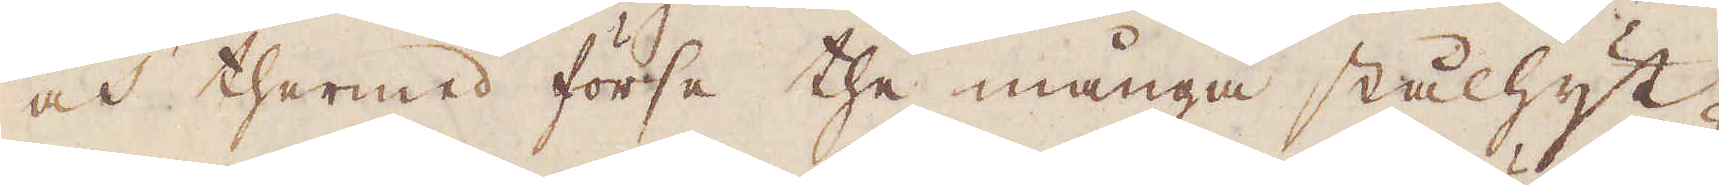och thermed förse the många stålhyt-
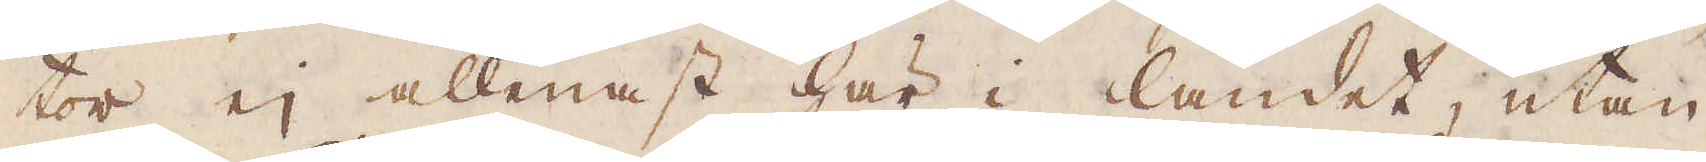tor ej allenast här i landet, utan
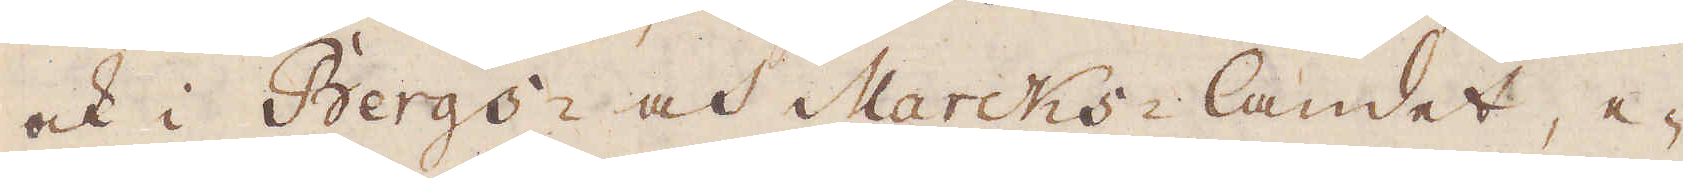ock i Bergs- och Marcks-landet, e-
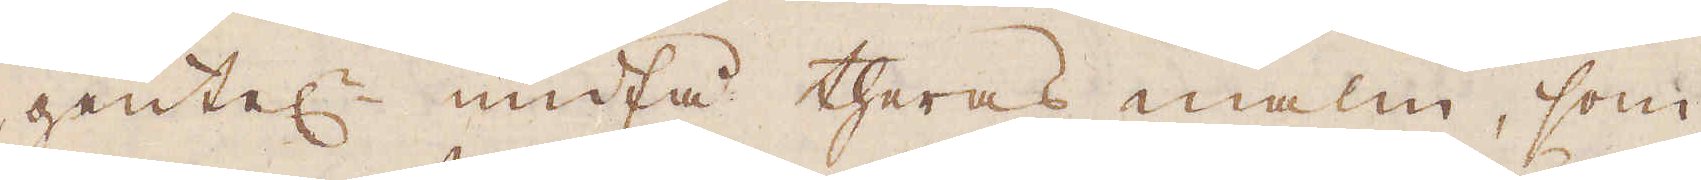gentel:n undfå theras malm, som
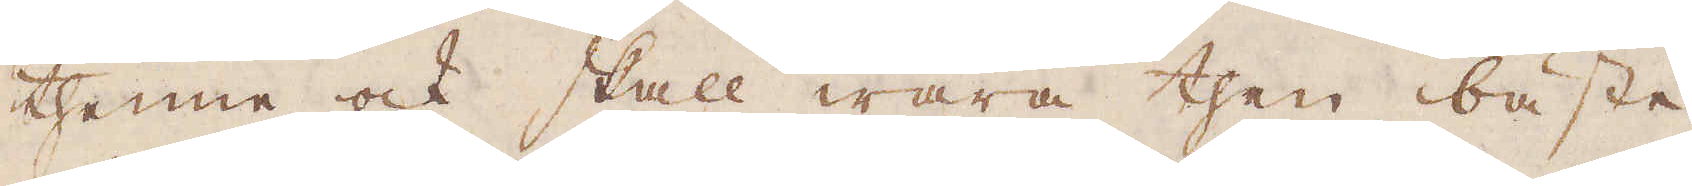thenne ock skall wara then bäste
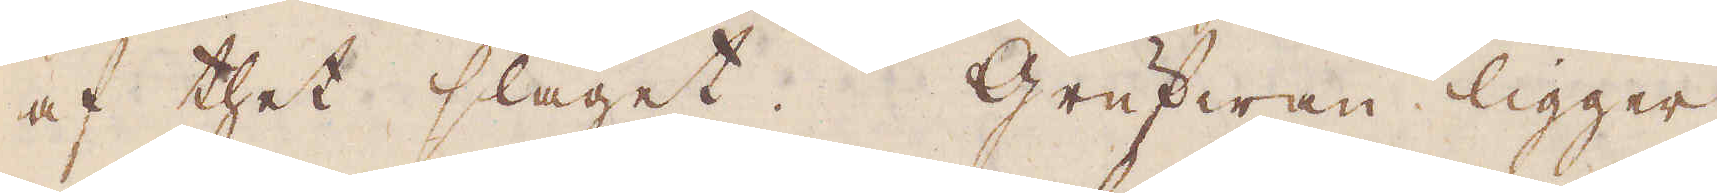af thet slaget. Grufwan ligger
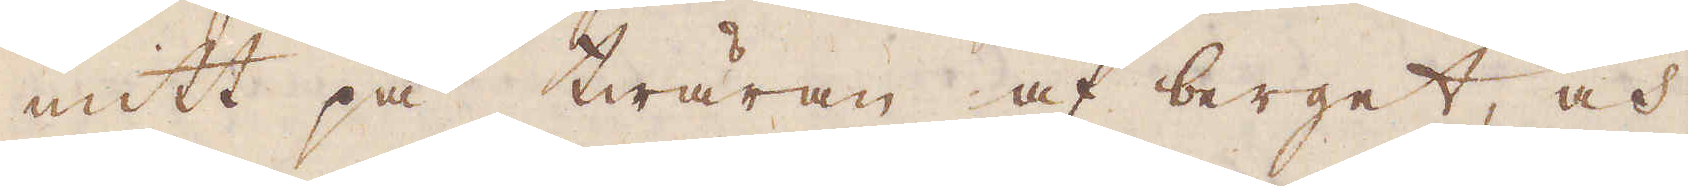mitt på twäran af berget, och
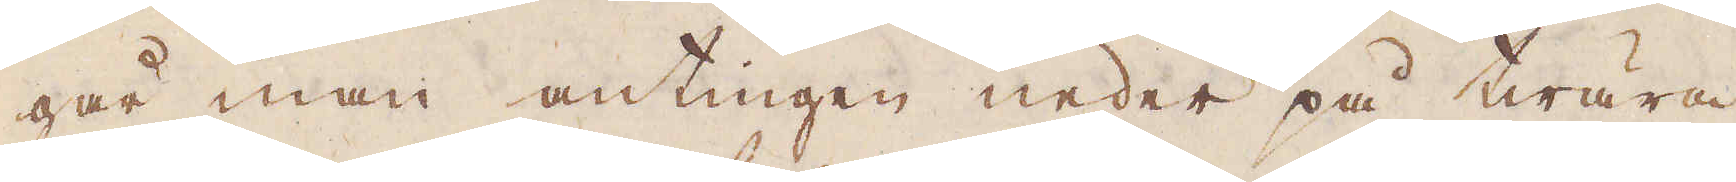går man antingen neder på twära
